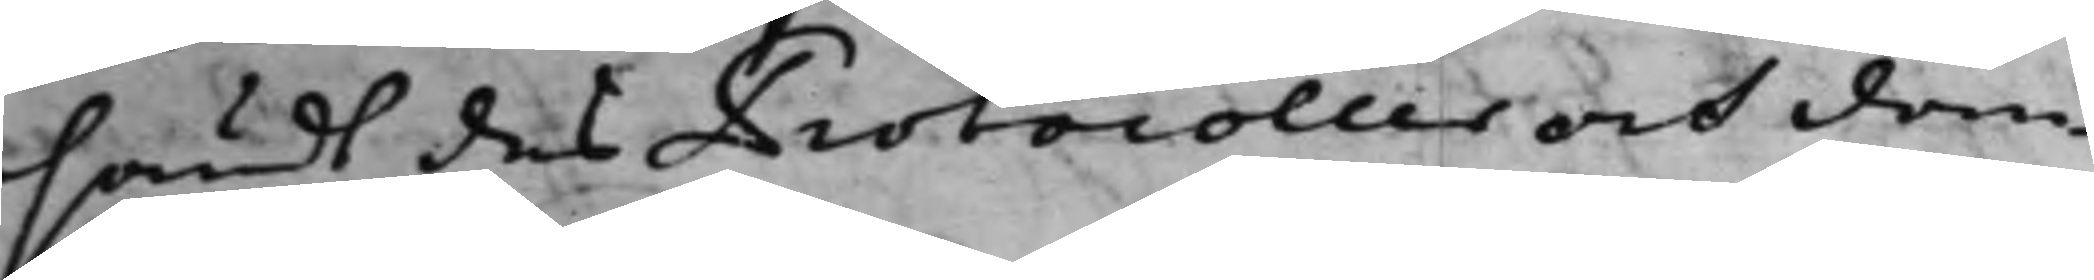sändt des Protocoller och dom¬
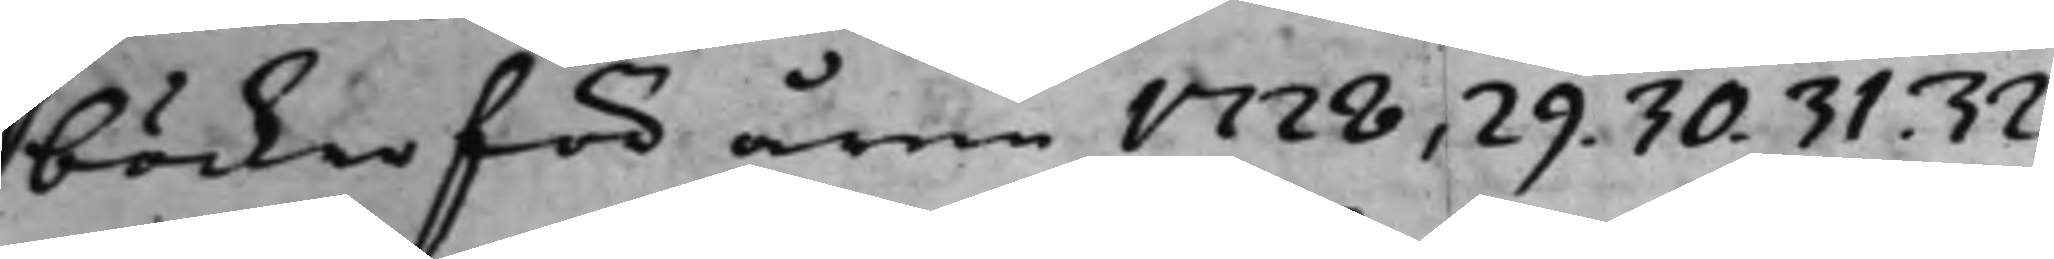böcker för åren 1728, 29. 30. 31. 32.
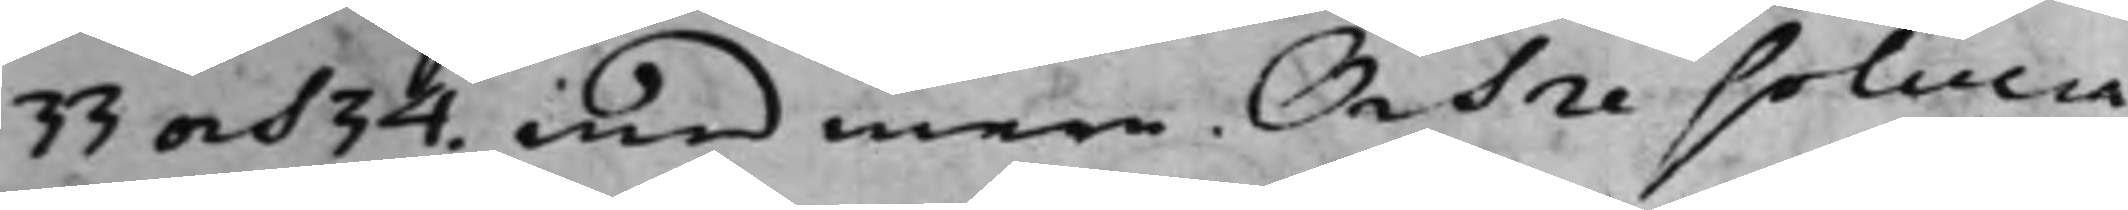33 och 34. med mera. Och resolvera¬
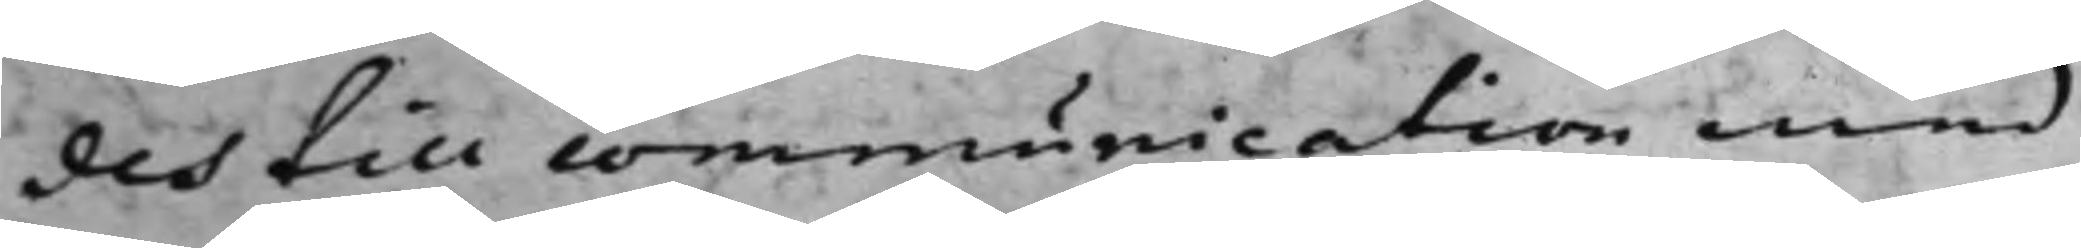des till communication med
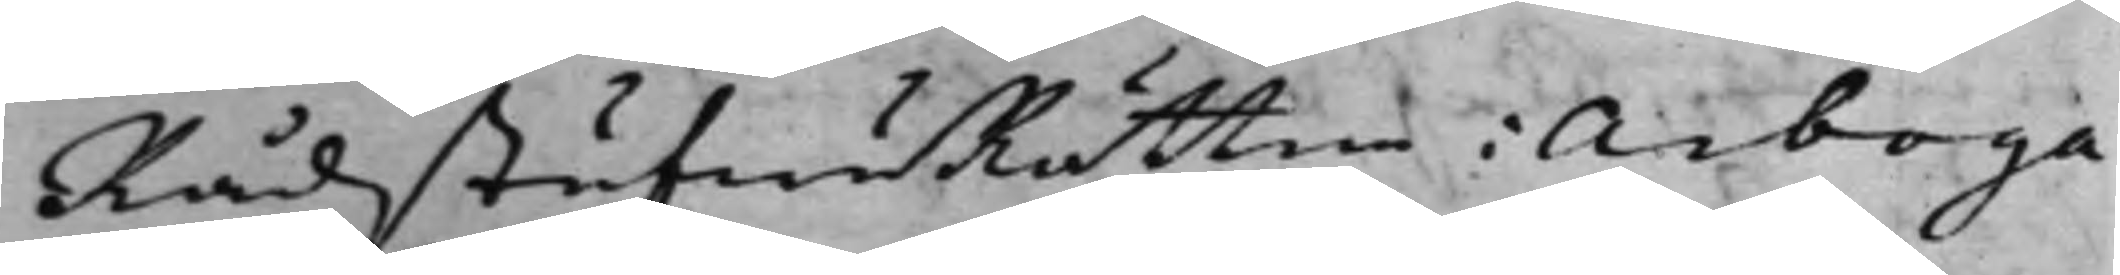RådstufwuRätten i Arboga
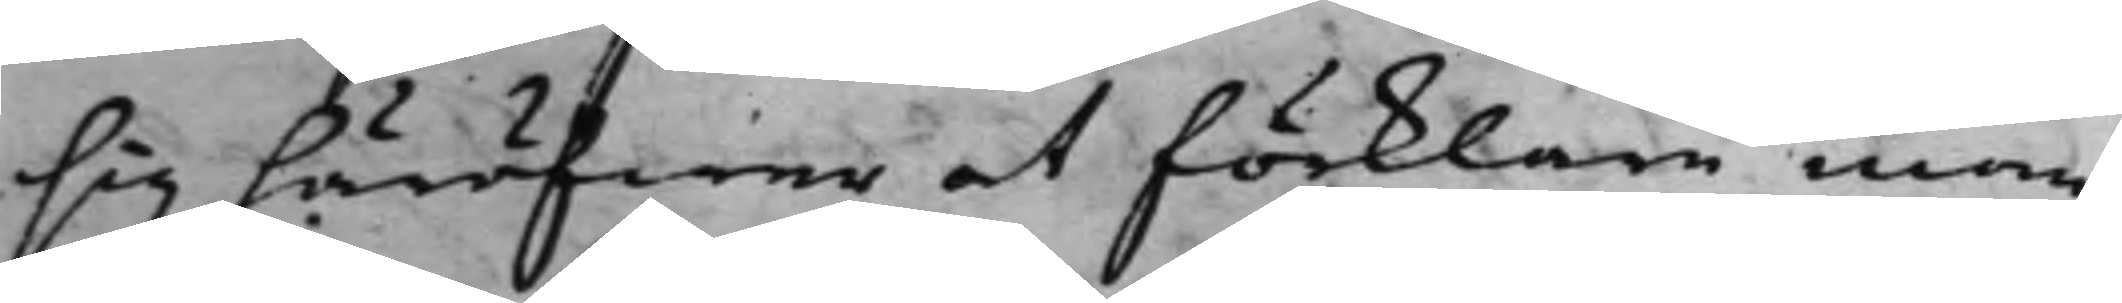sig häröfwer at förklara inom
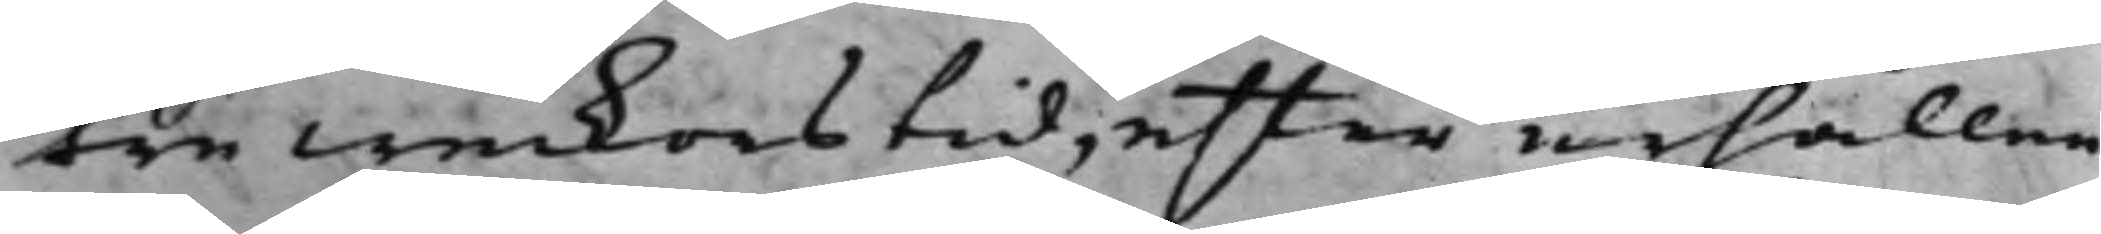tre weckors tid, efter erhållen
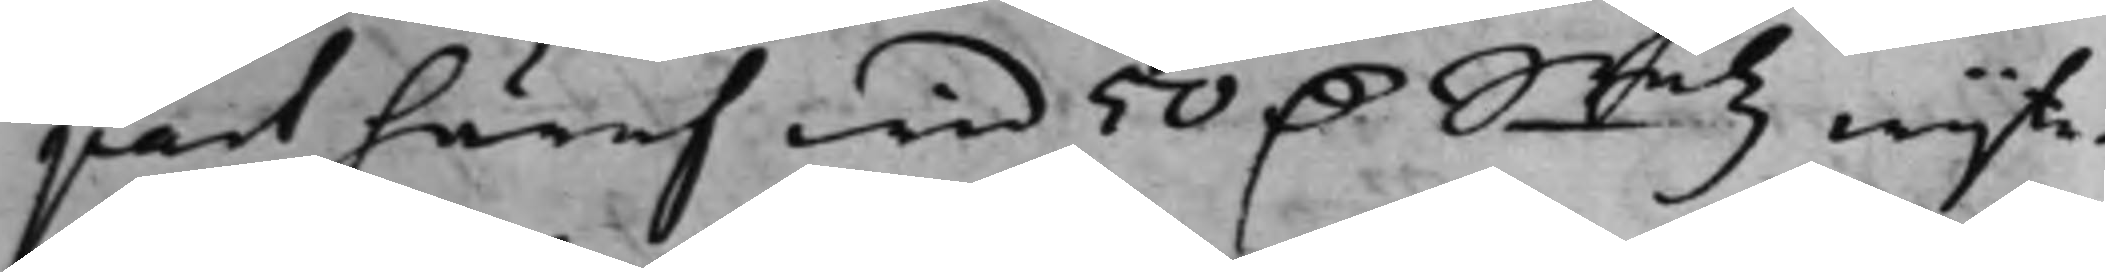part häraf wid 50 D. Smtz wijte.
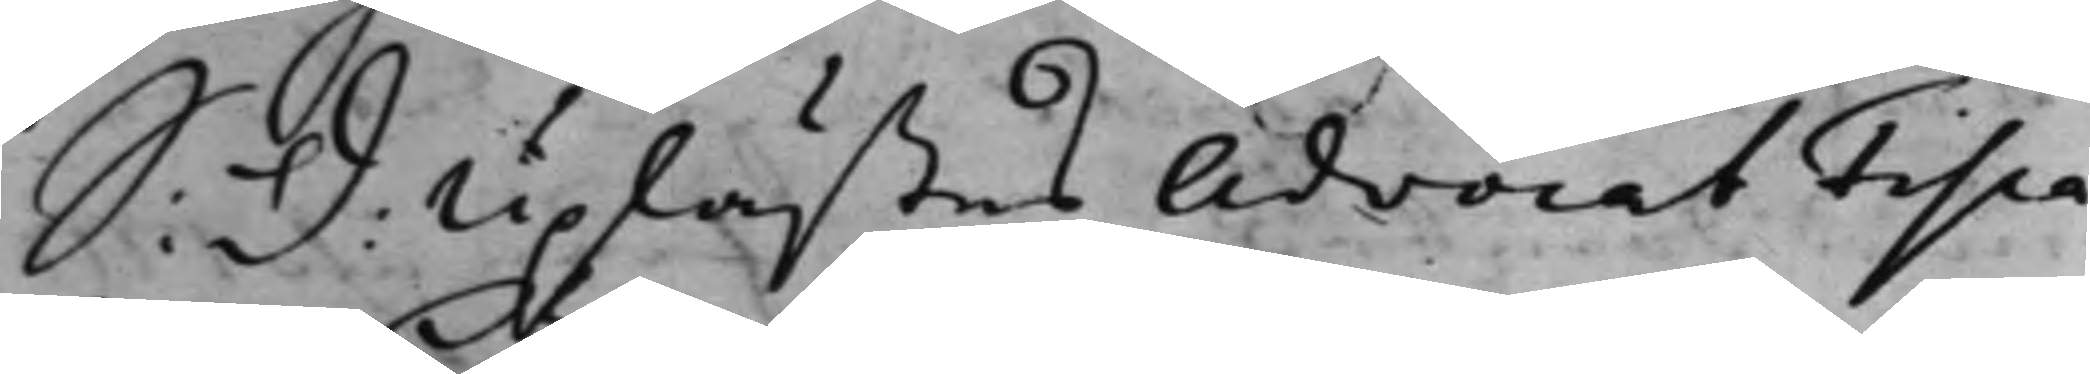S: d: Uplästes AdvocatFisca¬
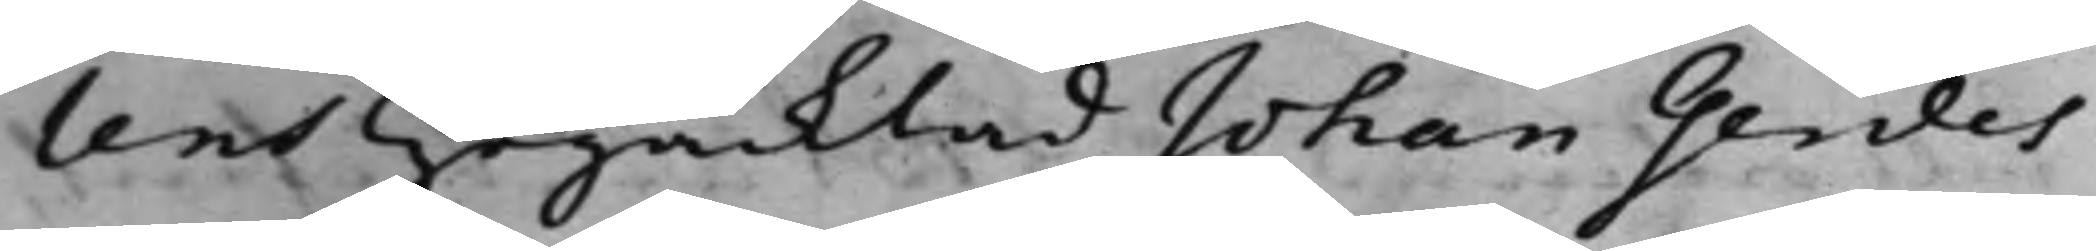lens Högacktad Johan Gerdes
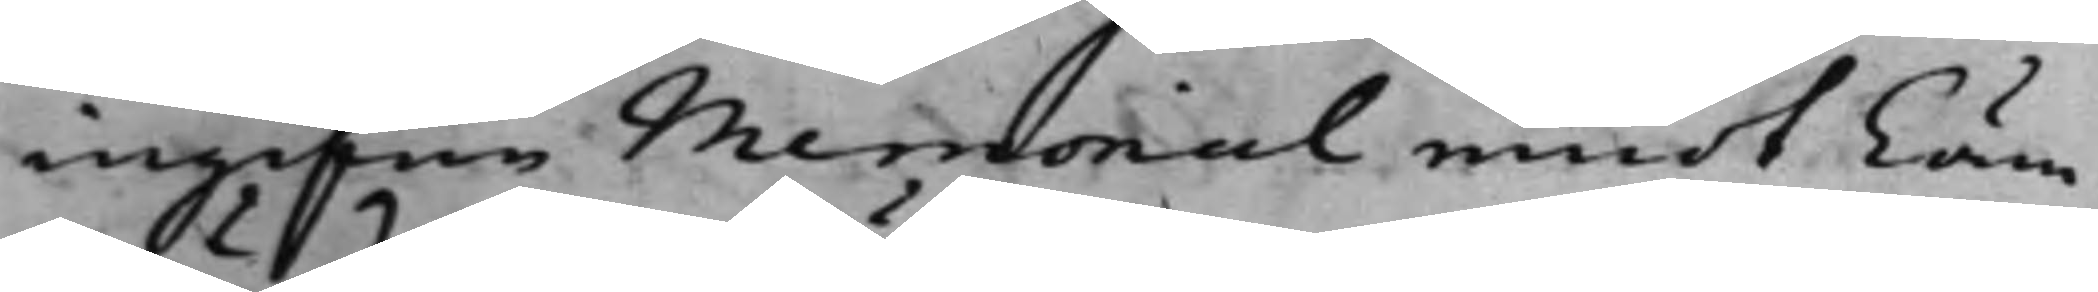ingifne Memorial emot Cäm¬
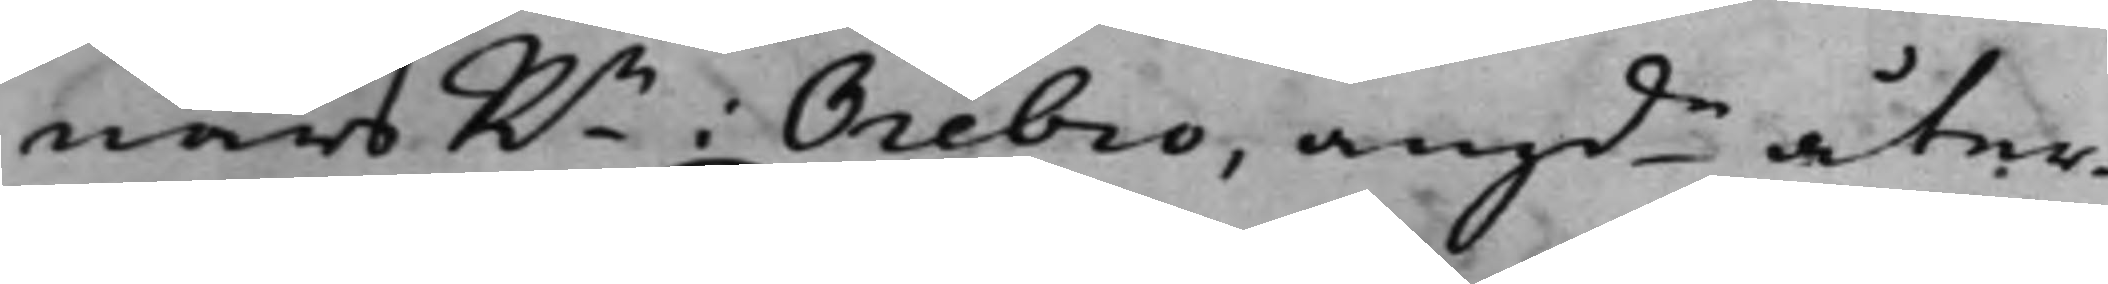närsRn i Örebro, angde åter¬
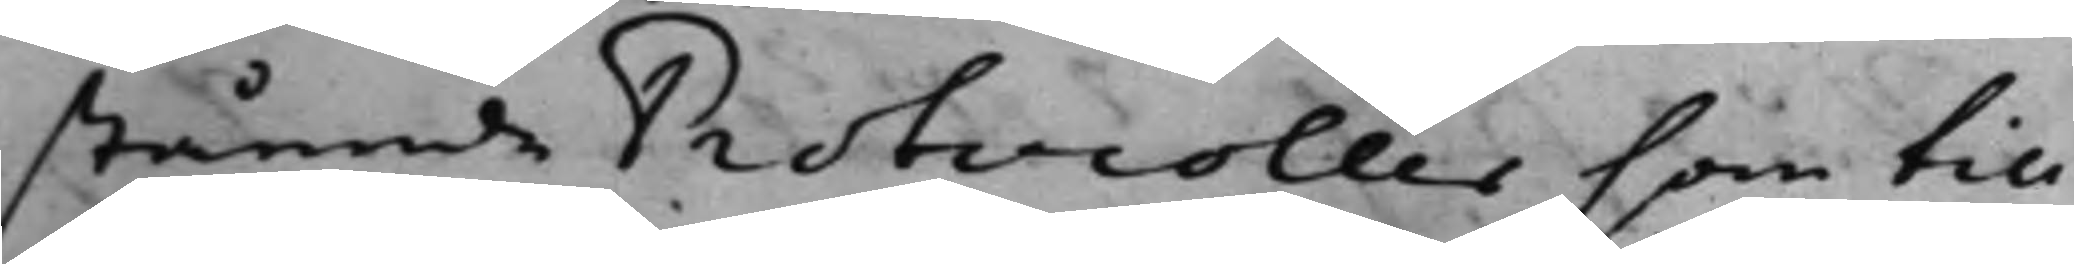stående Protocoller som till
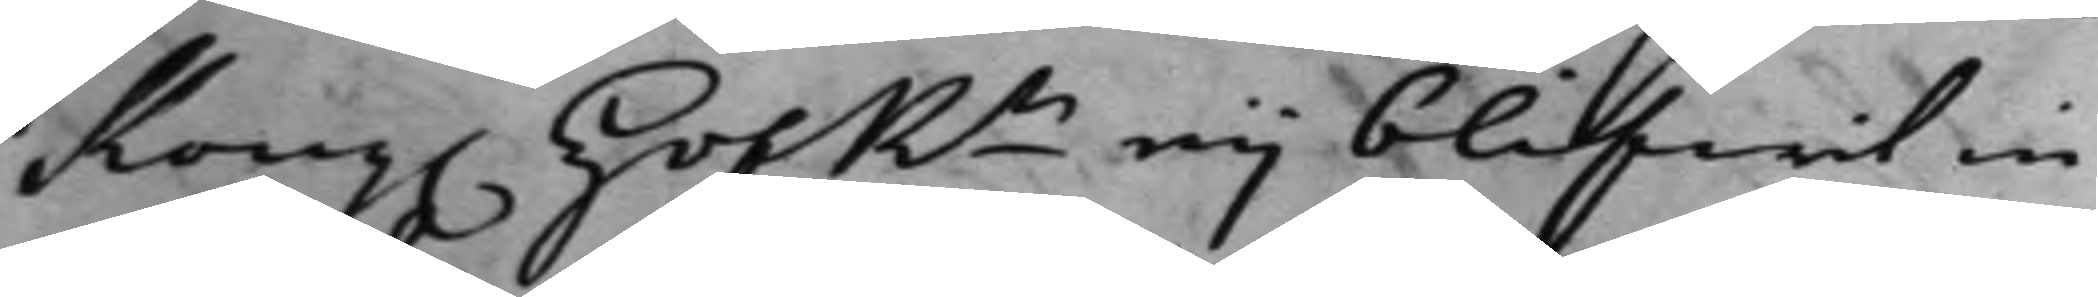Kong. HofRn eij blifwit in¬
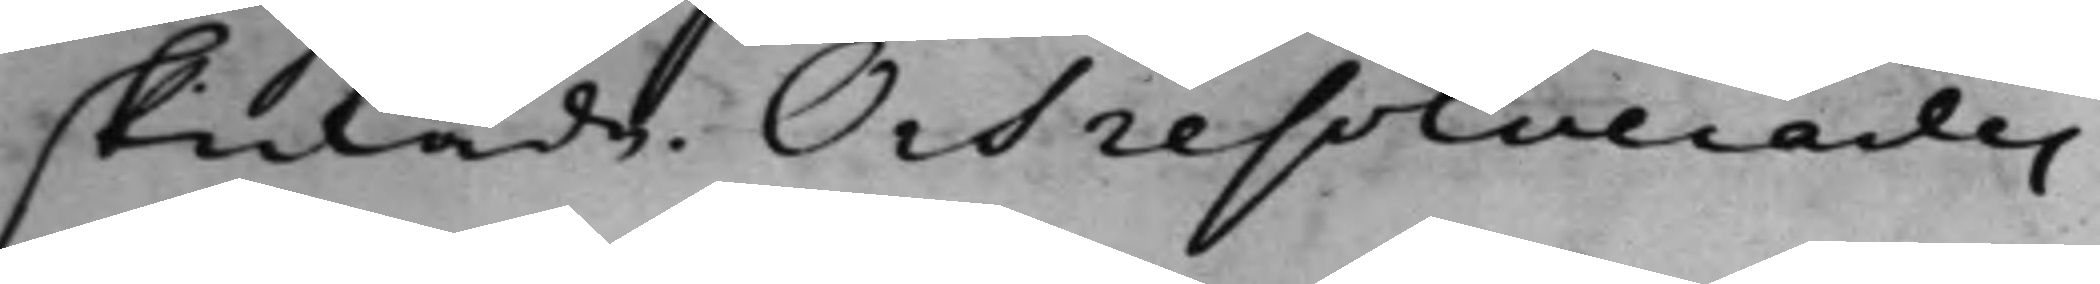skickade. Och resolverades
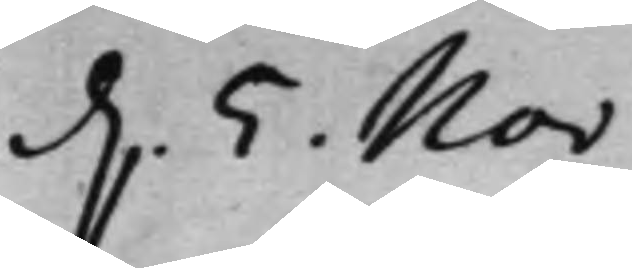d. 5. Nov:
